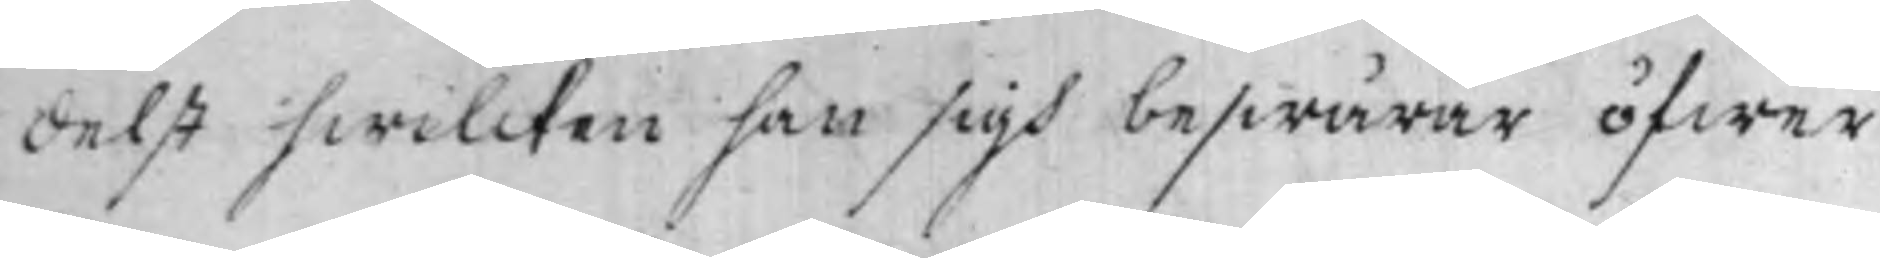delst hwilcken han sigh beswärar öfwer
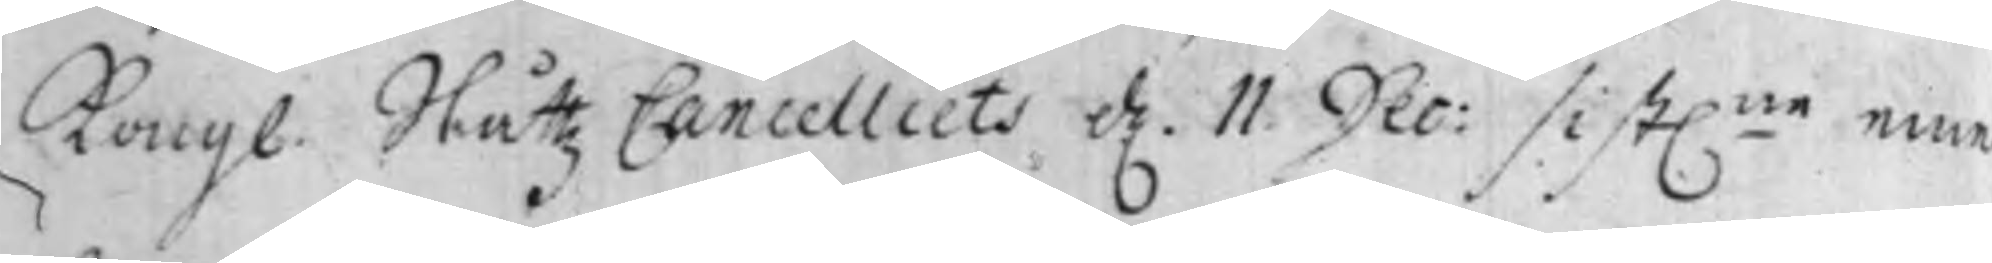Kongl. Slåttz Cancelliets d. 11. Dec: sist.ne eme¬
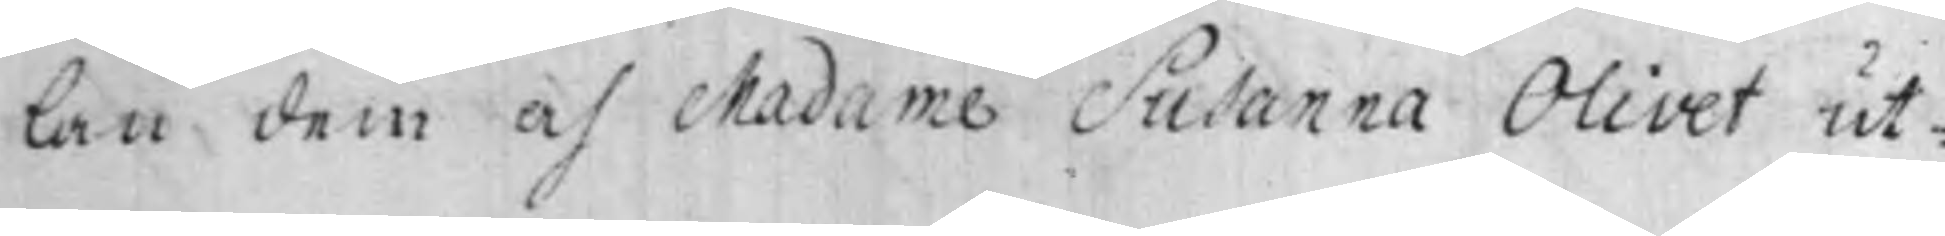lan dem af Madame Susanna Olivet ut¬
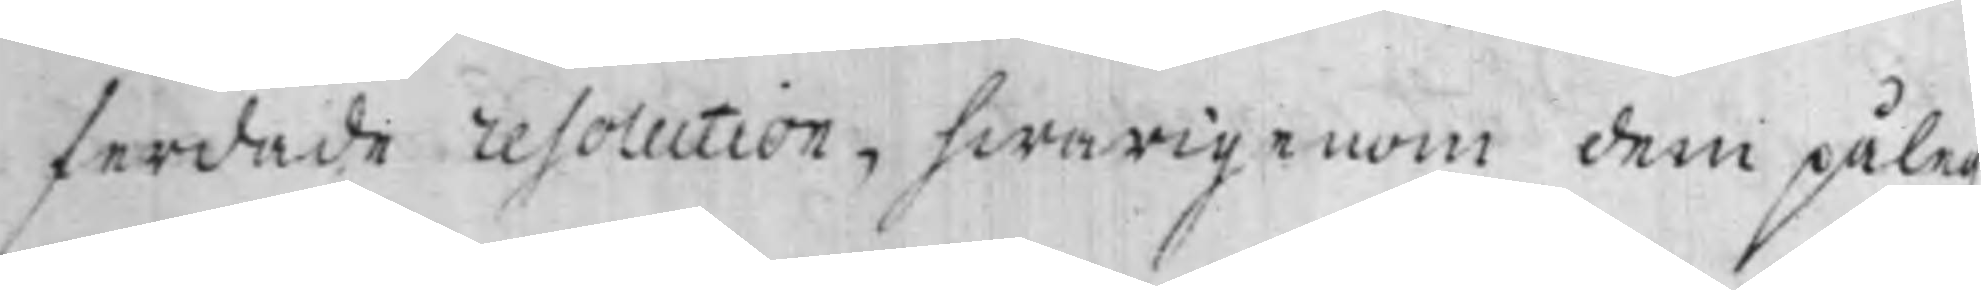ferdade resolution, hwarigenom dem påleg-
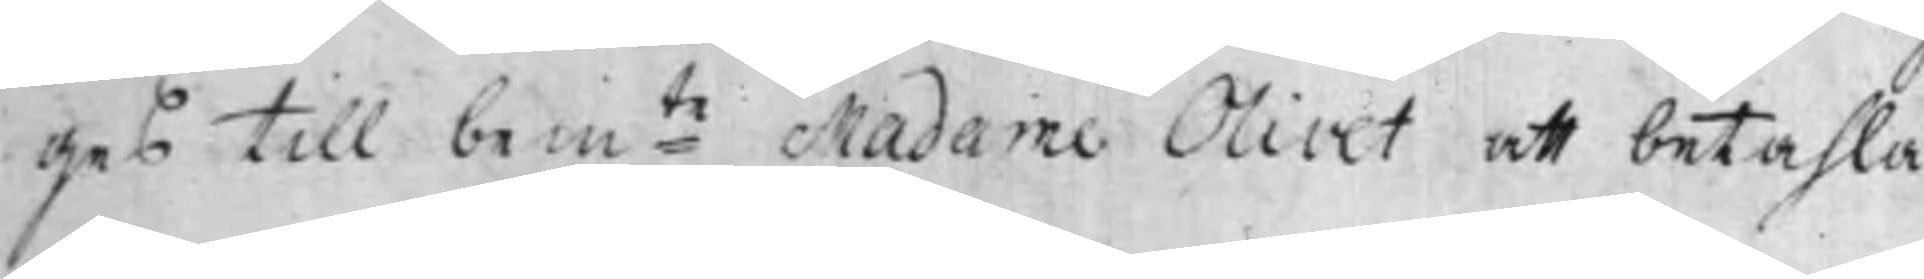ges till bem:te Madame Olivet att betahla
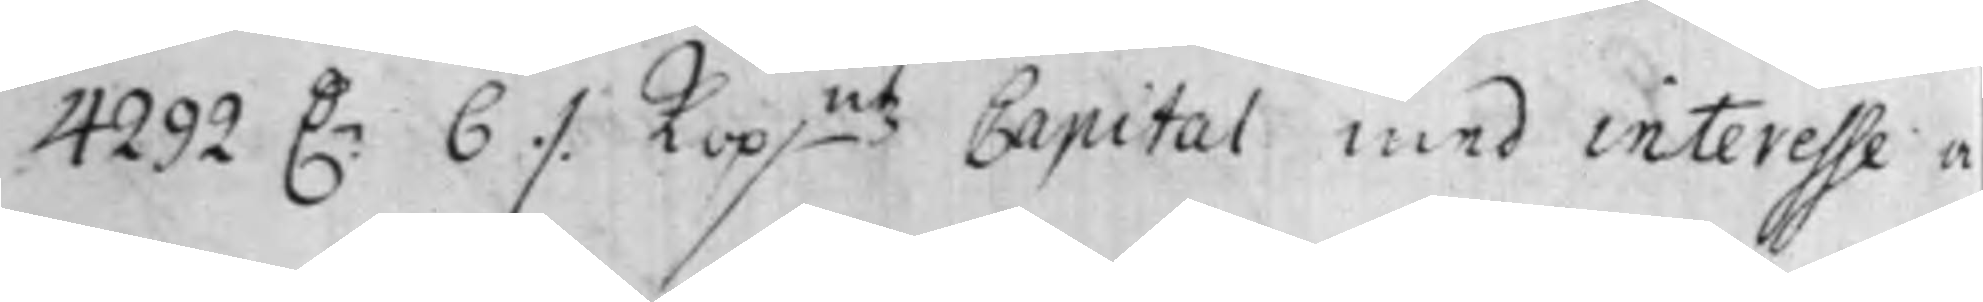4292 D.r 6 ⁒ Kop.mt Capital med interesse a
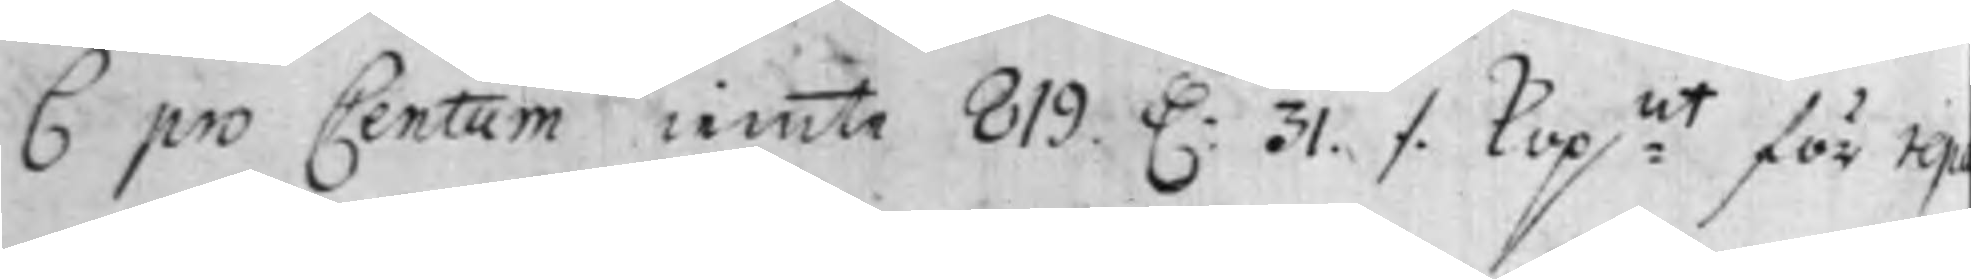6 pro Centum iemte 819. D: 31. ⁒ Kop:mt för rep-
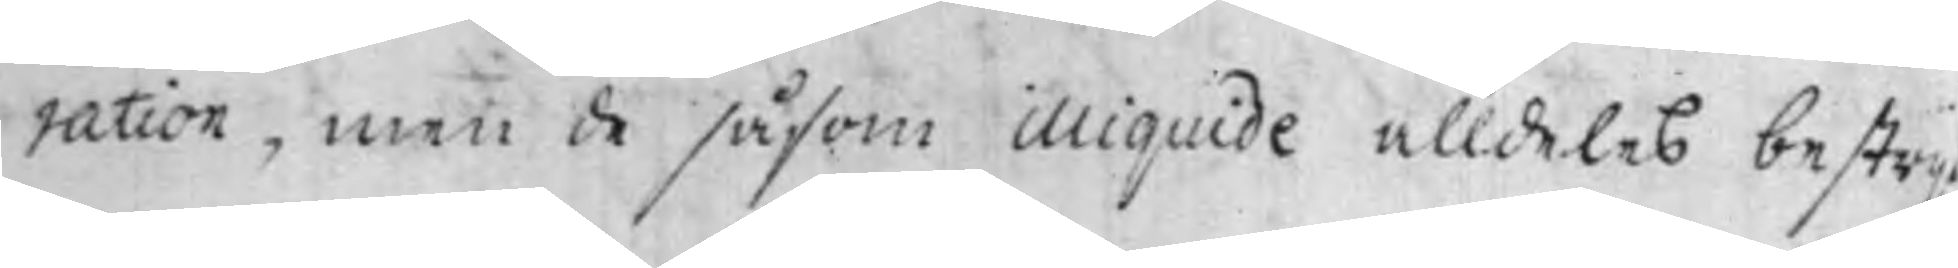ration, men de såsom illiquide alldeles bestrij
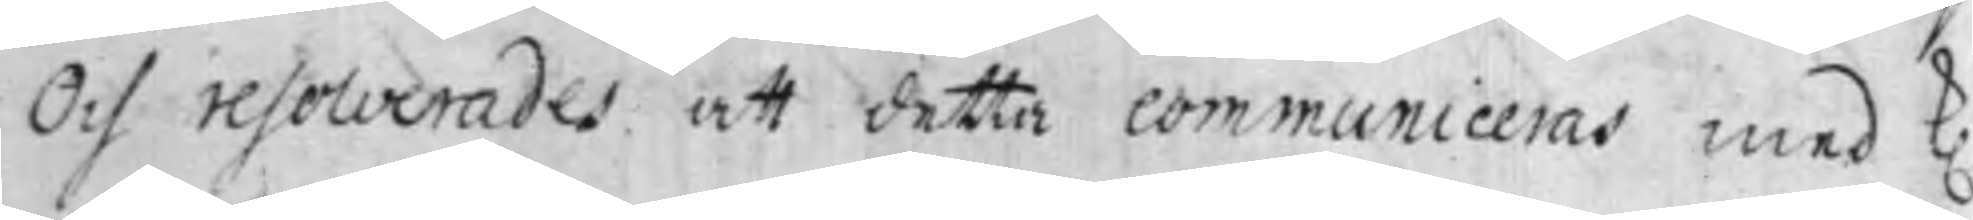Och resolverades att detta communiceras med K.
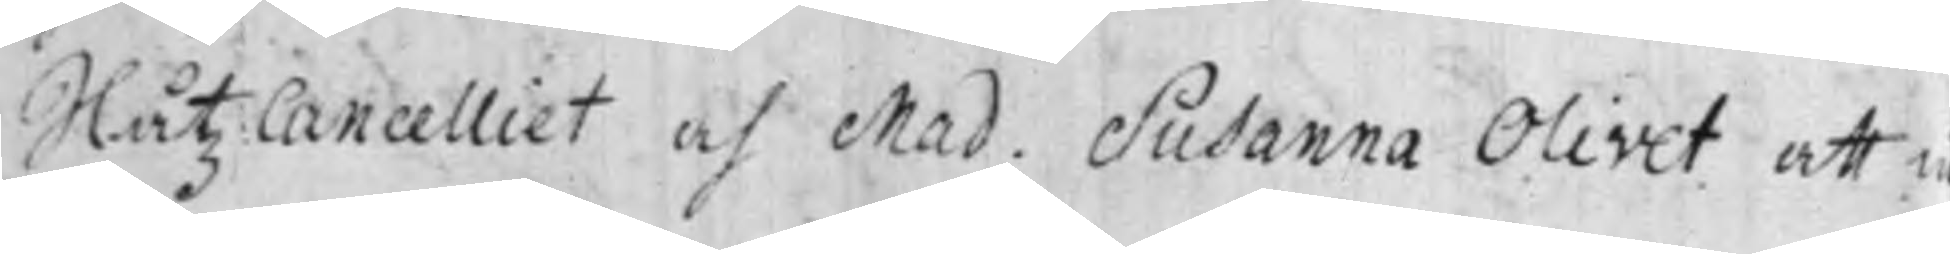Slåtz Cancelliet och Mad. Susanna Olivet att in¬
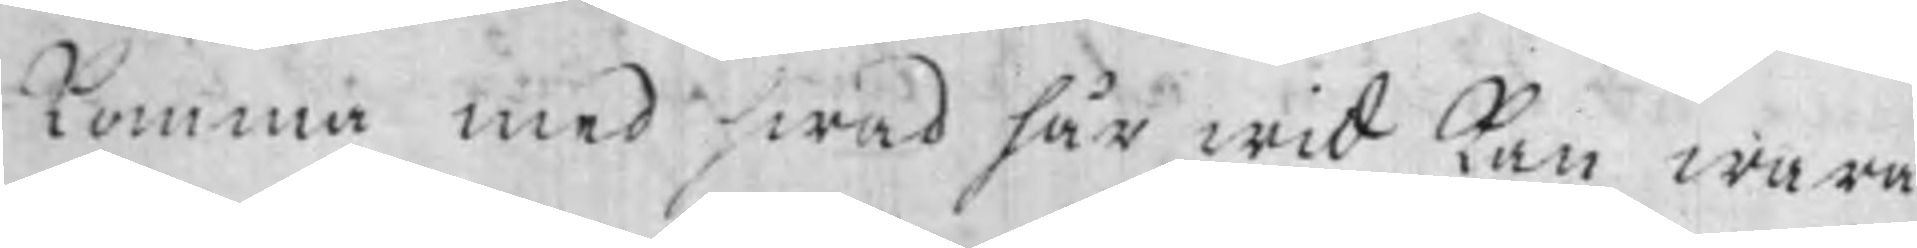komma med hwad här wid kan wara
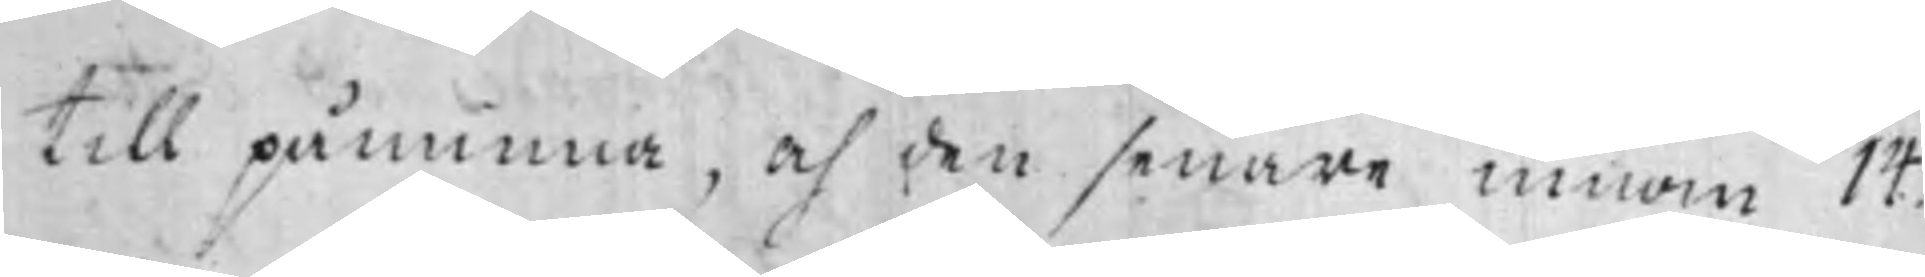till påminna, och den senare innom 14.
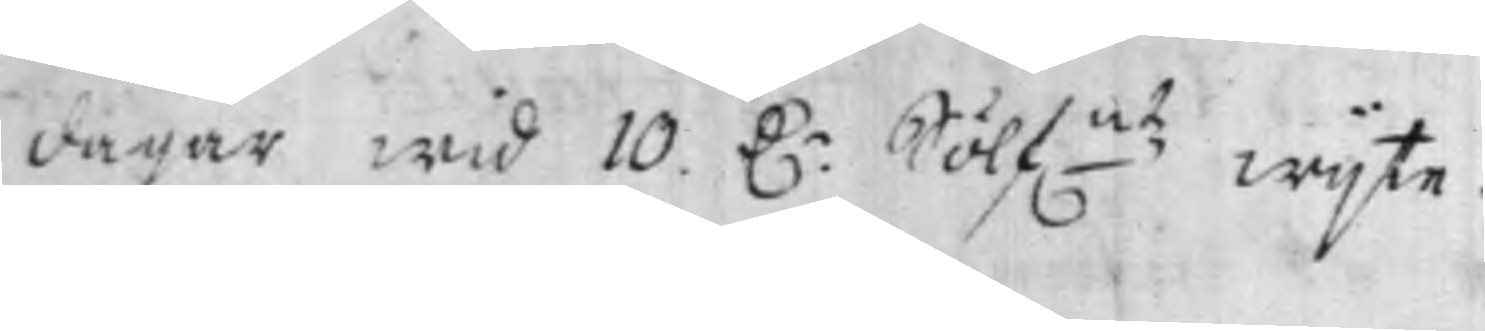dagar wid 10. D:r Sölf.mtz wijte.
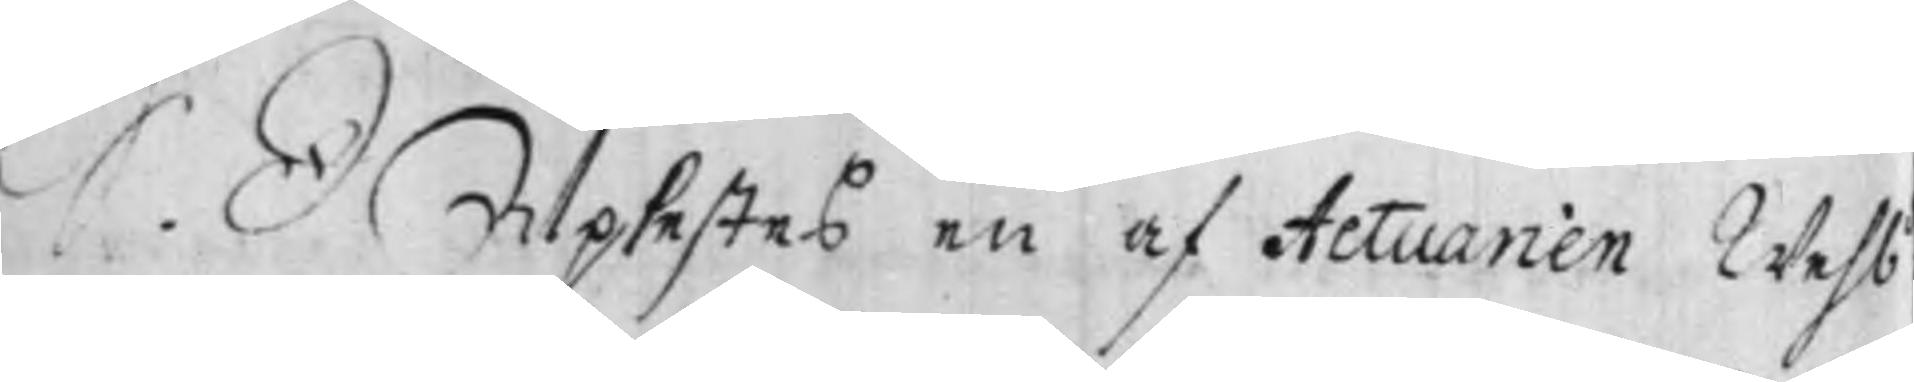S. D Uplestes en af Actuarien Wehb
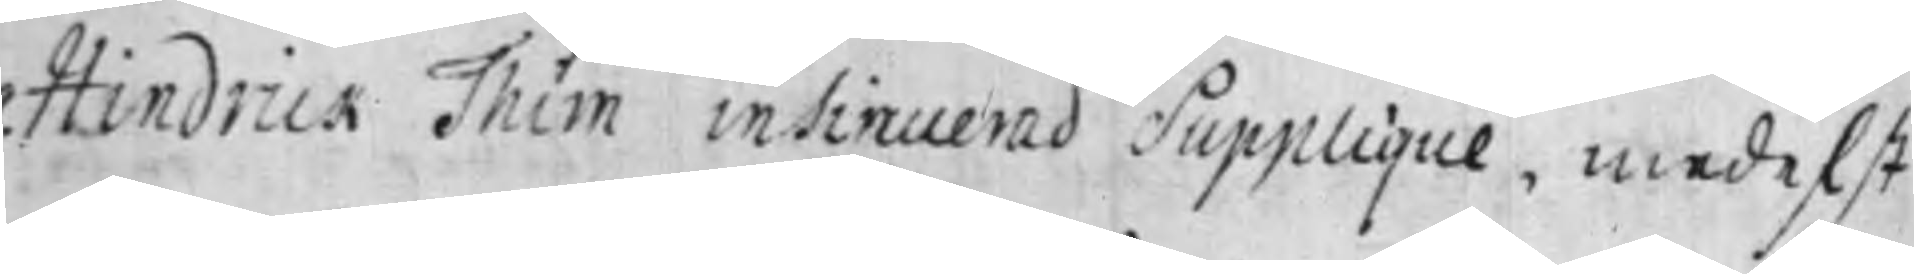Hindrick Thim insinuerad Supplique, medelst
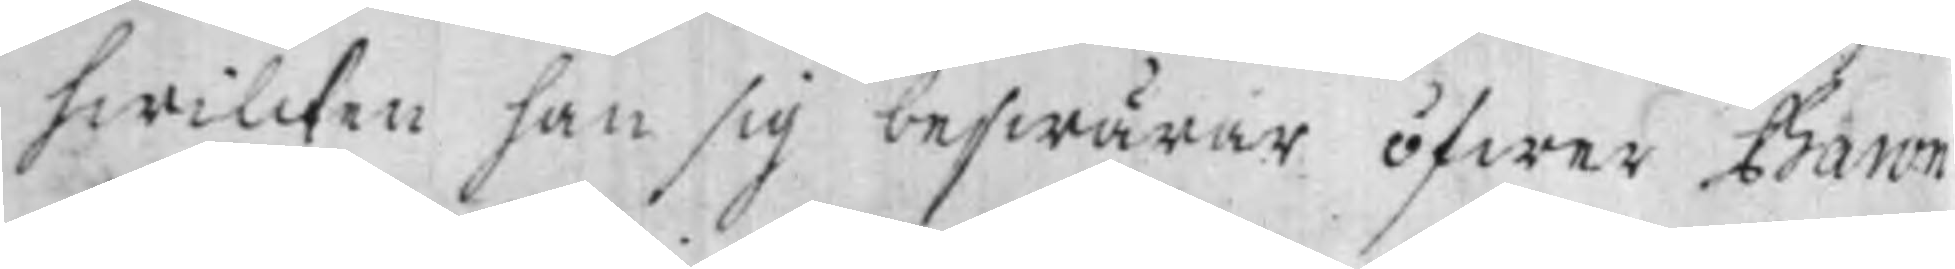hwilcken han sig beswärar öfwer Baron
